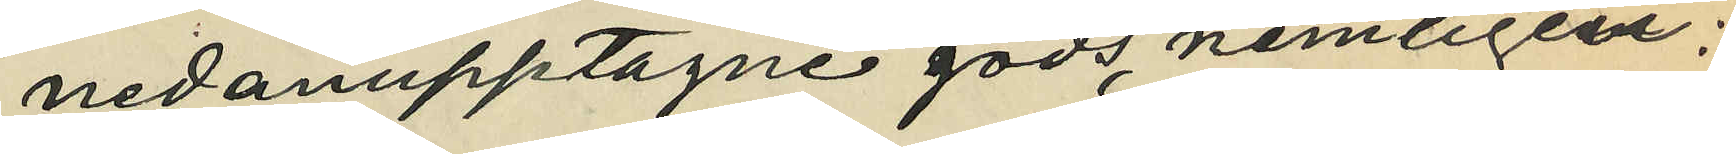nedanupptagne gods, nemligen:
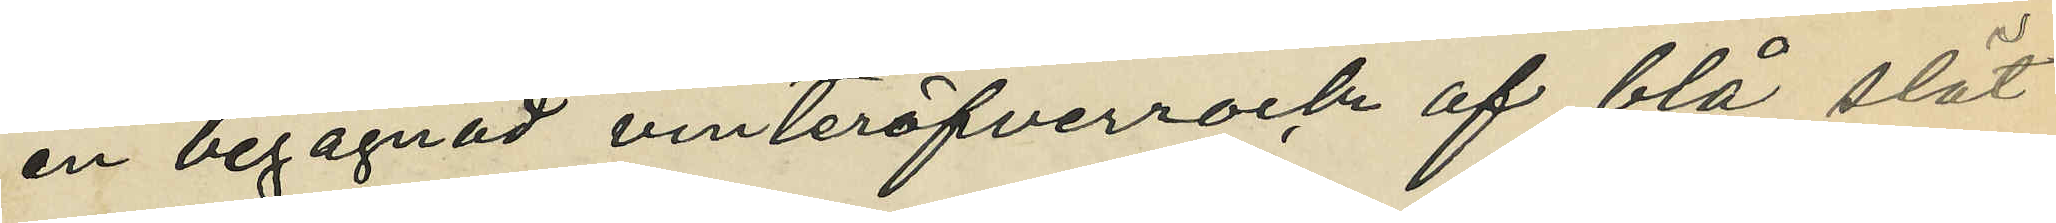en begagnad vinteröfverrock af blå slät
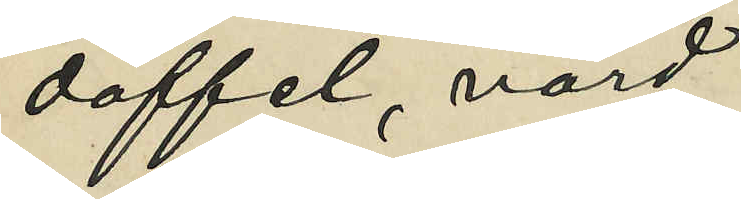doffel, värd
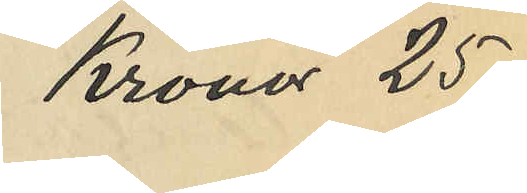Kronor 25
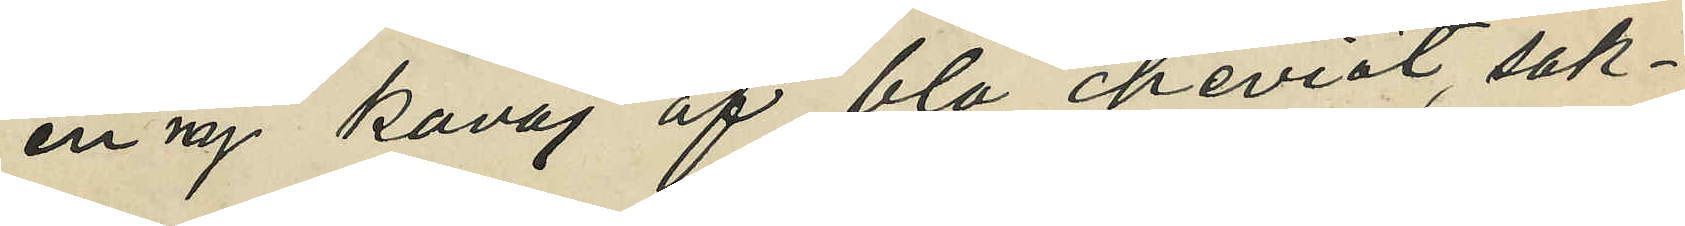en ny kavaj af blå cheviot, sak¬
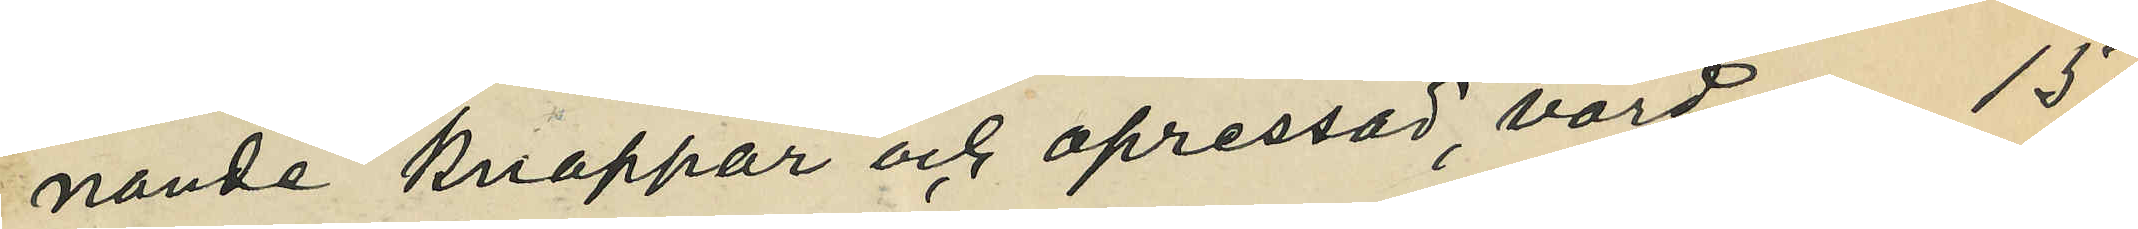nande knappar och opressad, värd 15
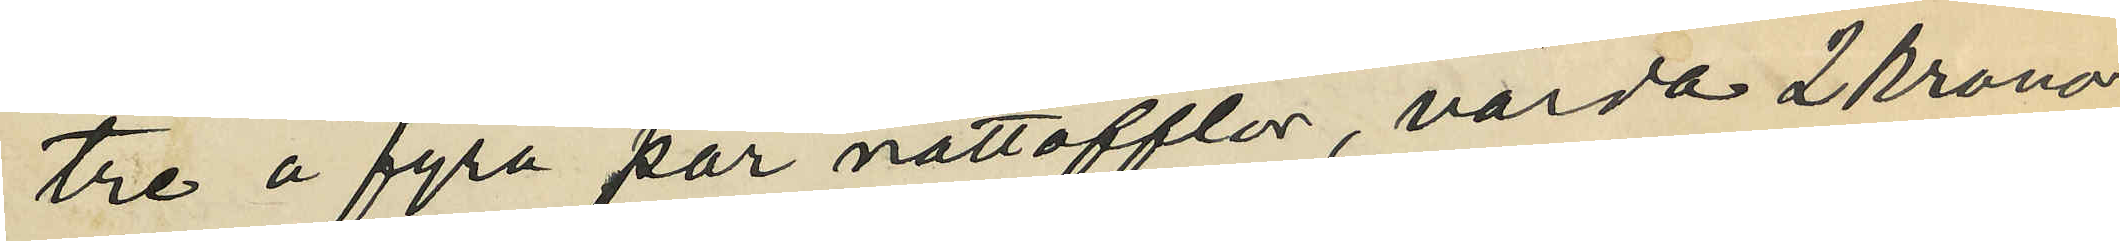tre á fyra par nattofflor, värda 2 kronor
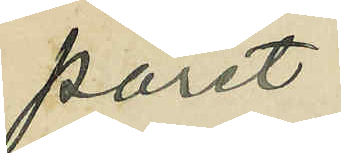paret
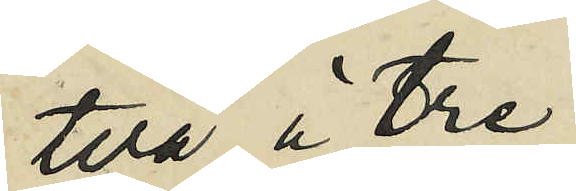två á tre
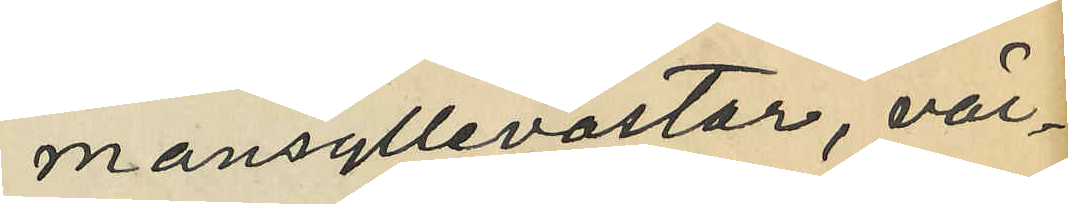mansyllevästar, vär¬
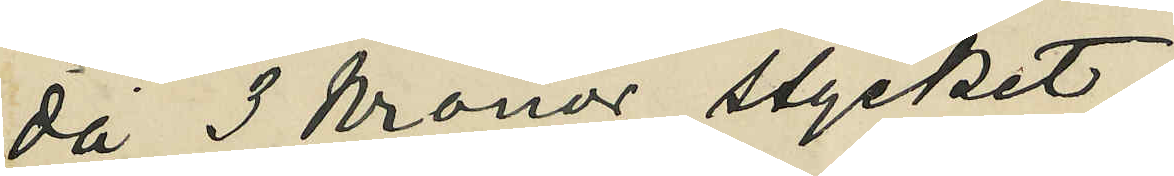da 3 Kronor stycket;
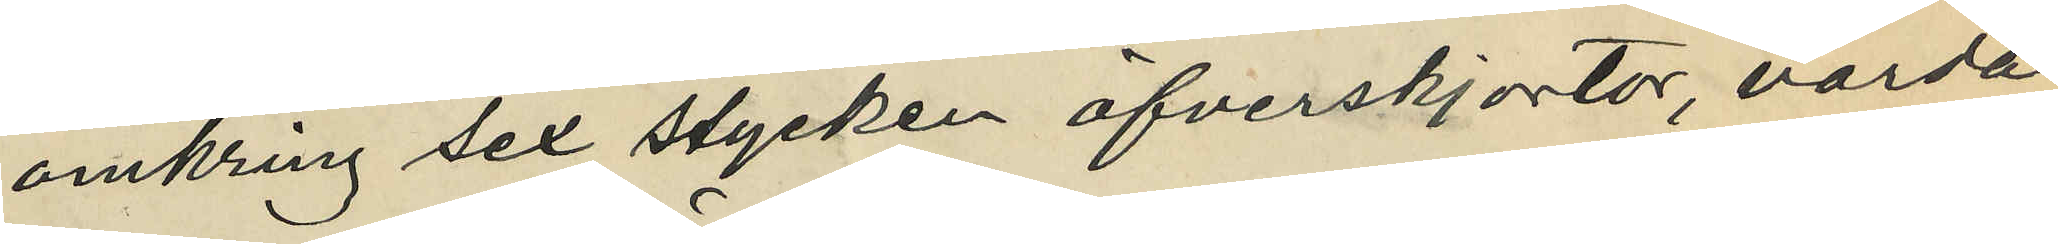omkring sex stycken öfverskjortor, värda
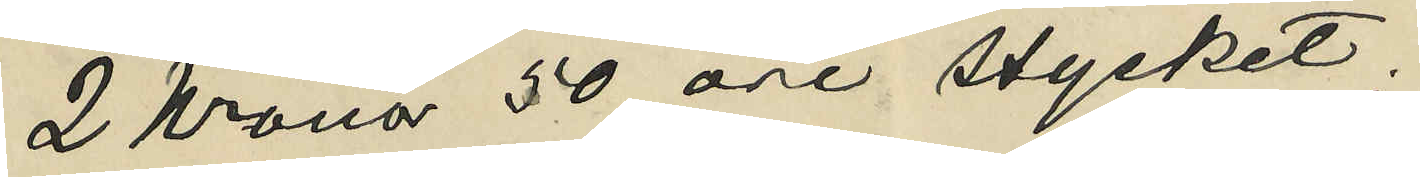2 Kronor 50 öre stycket;
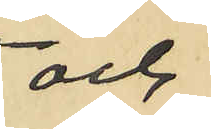och
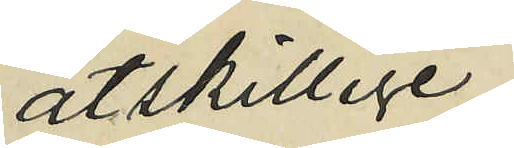åtskillige
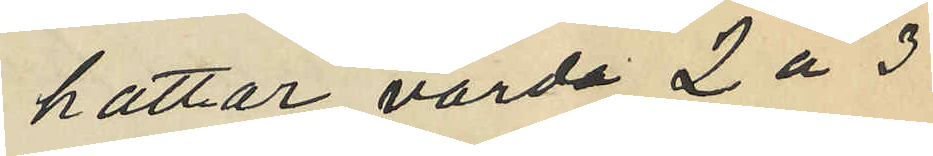hattar, värda 2 á 3
